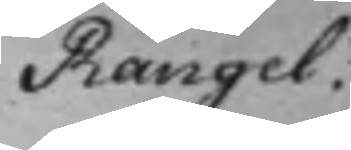Rangel.
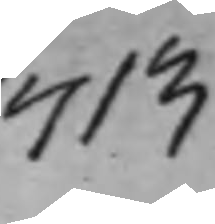713
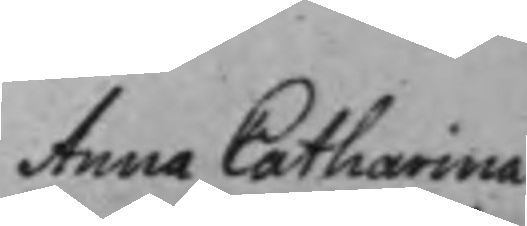Anna Catharina
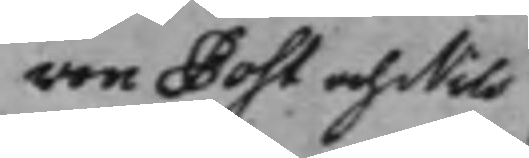von Post och Nils
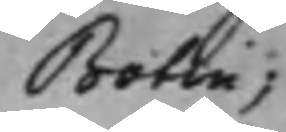Botin;
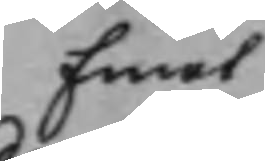Emot
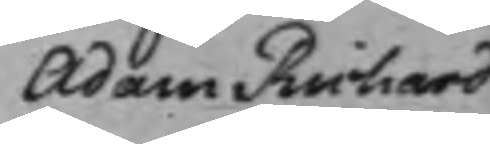Adam Richard
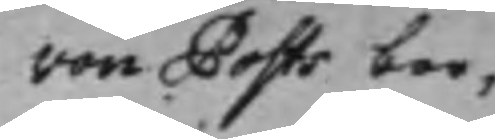von Posts bor¬
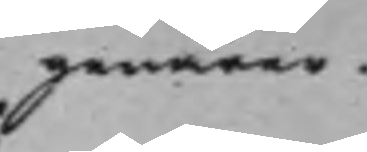genärer.
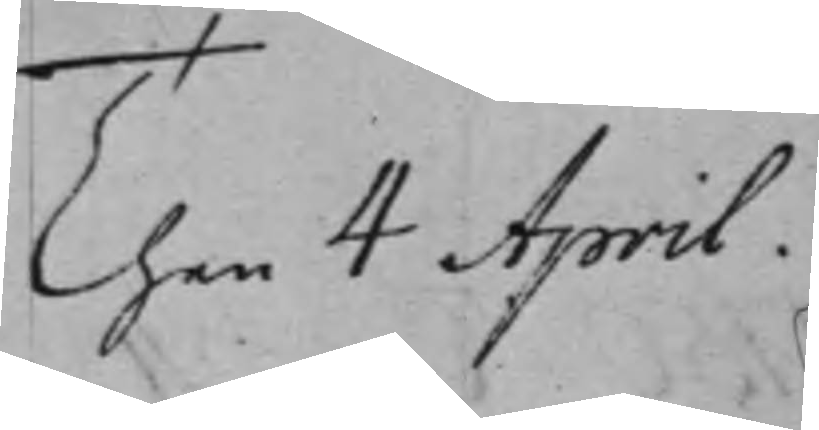Then 4 April.
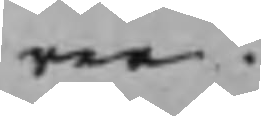rer.
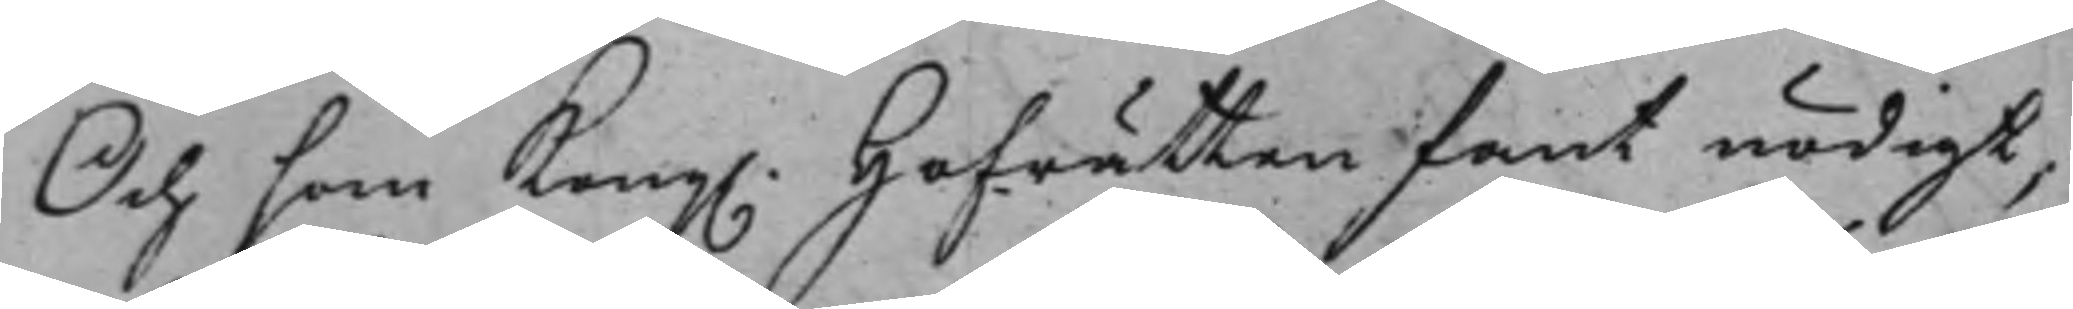Och som Kong. Hofrätten fant nödigt,
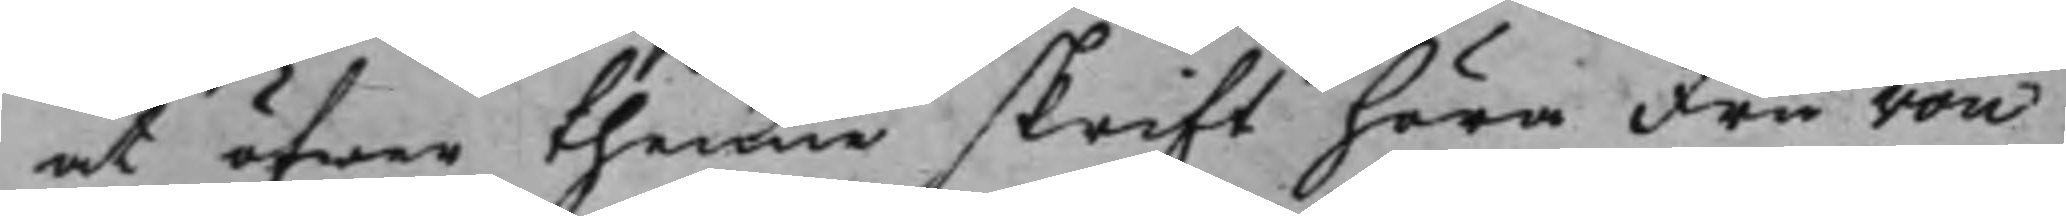at öfwer thenne skrift höra Fru von
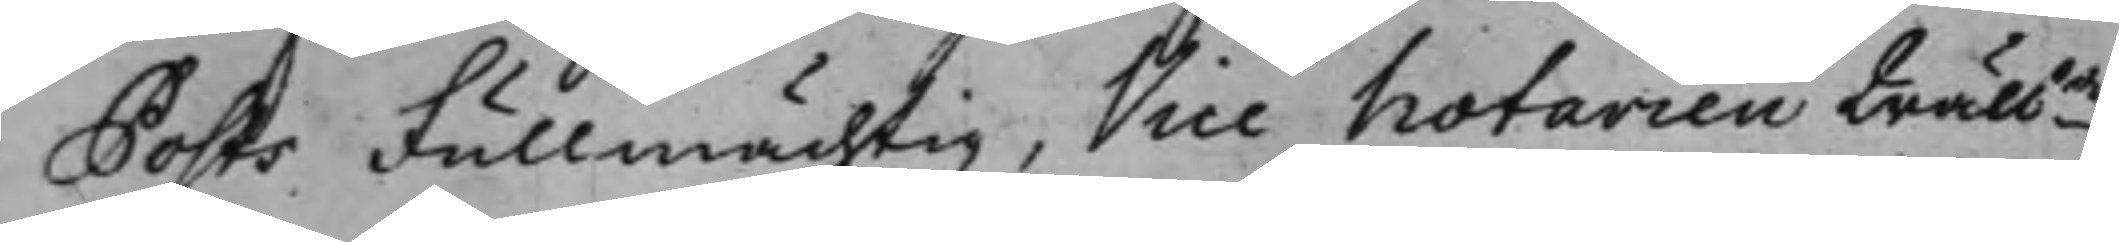Posts Fullmächtig, Vice Notarien Wälbde
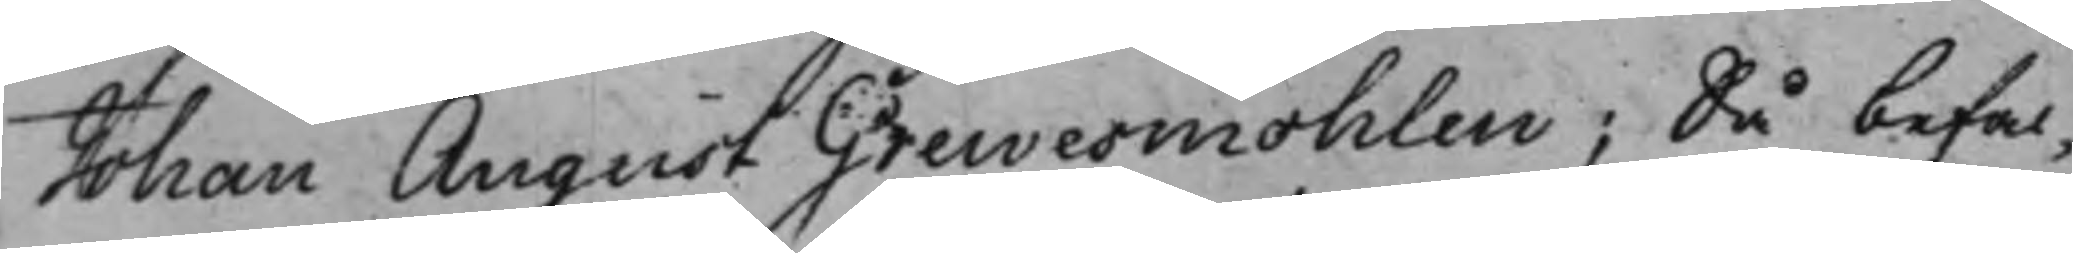Johan August Grewesmöhlen; Så befal¬
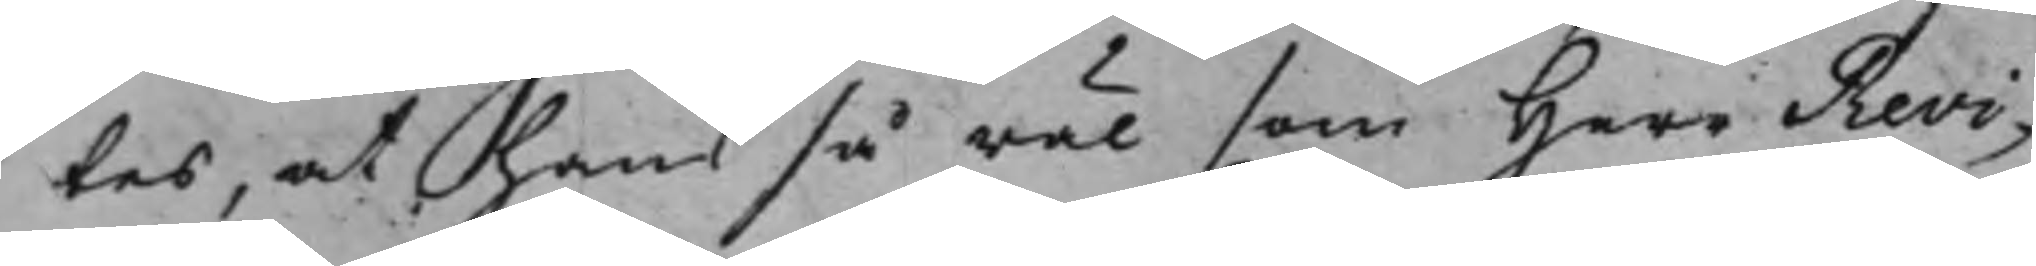tes, at han så wäl som Herr Revi¬
